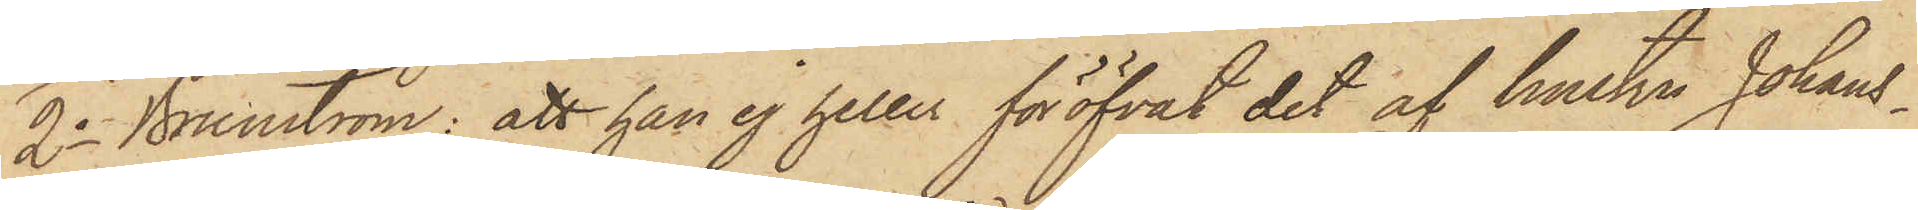2o Brunström: att han ej heller föröfvat det af hustru Johans¬
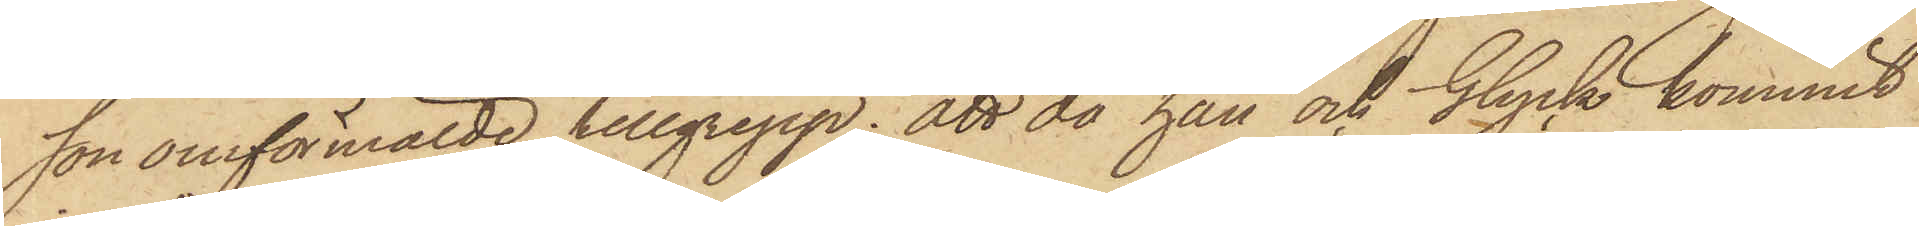son omförmälde tillgrepp; att då han och Glyck kommit
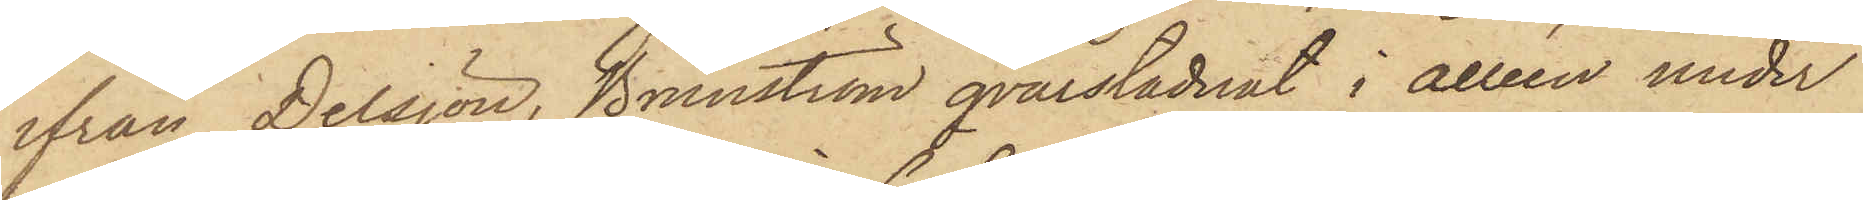ifrån Delsjön, Brunström qvarstadnat i alléen under
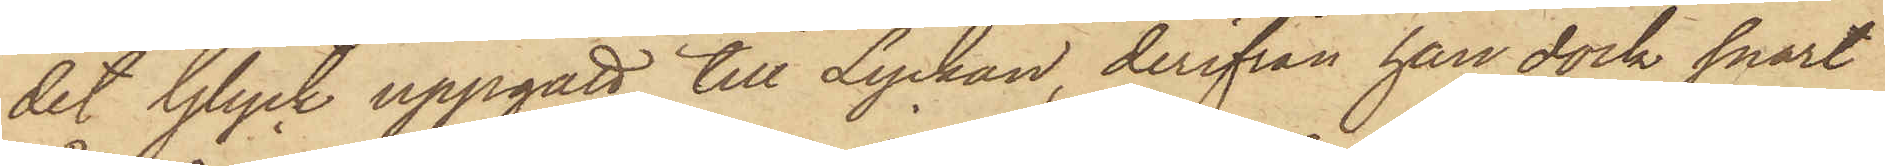det Glyck uppgått till Lyckan, derifrån han dock snart
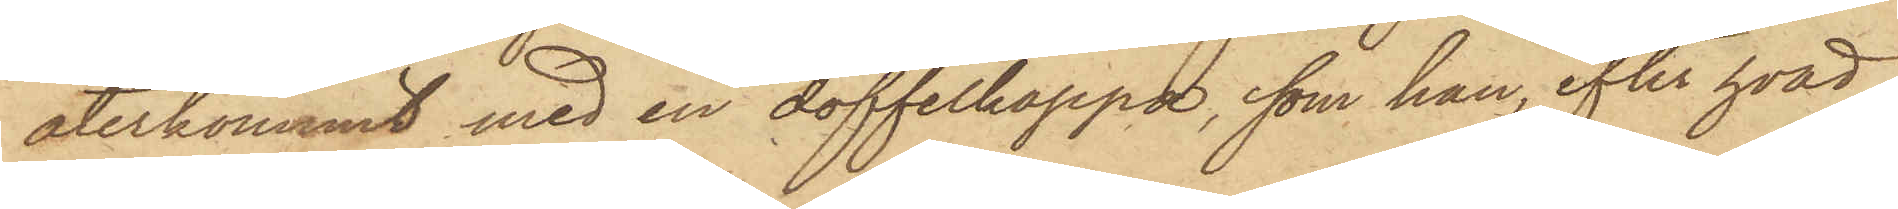återkommit med en doffelkappa, som han, efter hvad
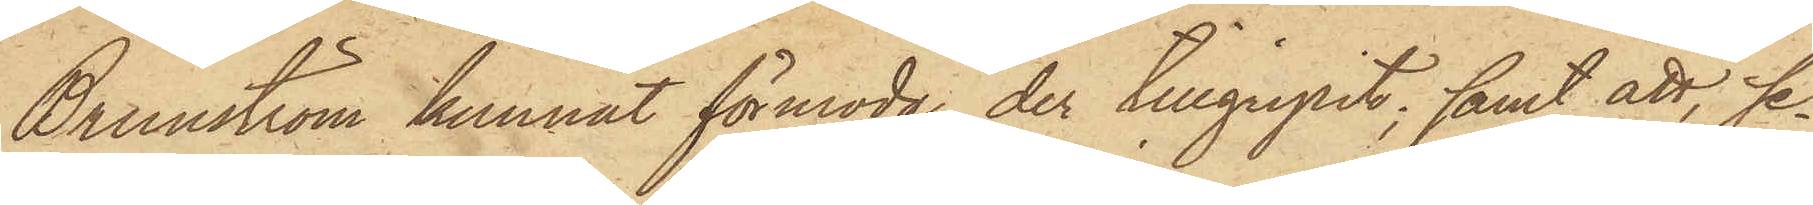Brunström kunnat förmoda, der tillgripit; samt att, se¬
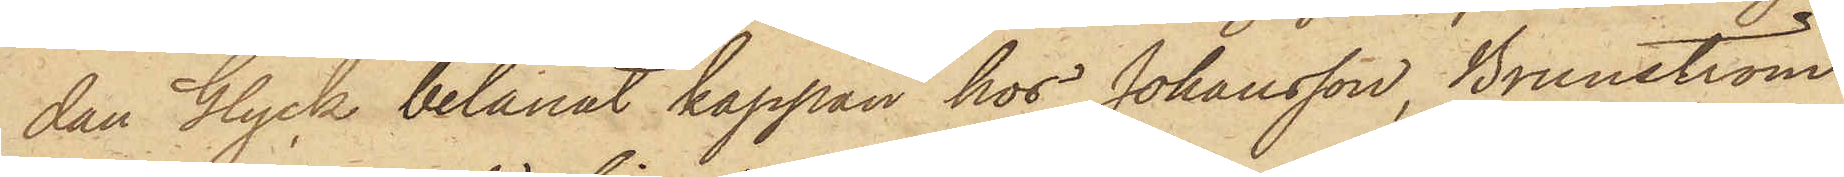dan Glyck belånat kappan hos Johansson, Brunström
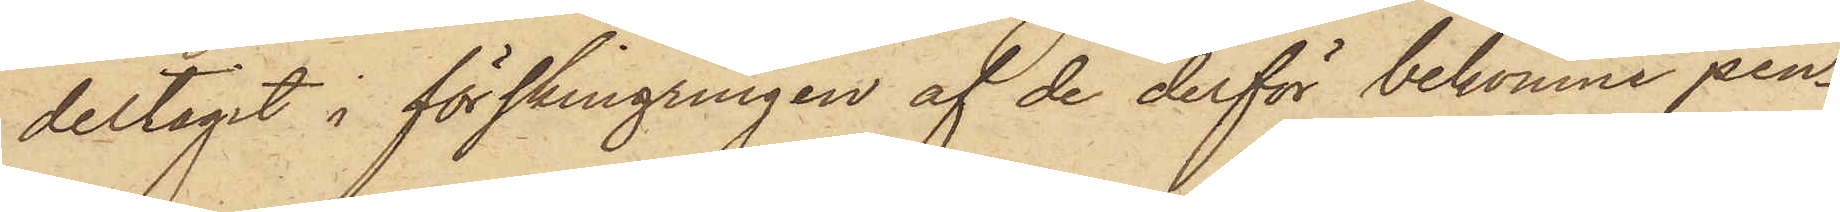deltagit i förskingningen af de derför bekomne pen¬
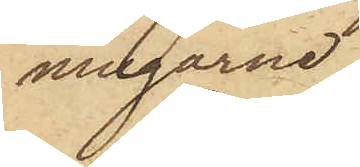ningarne.
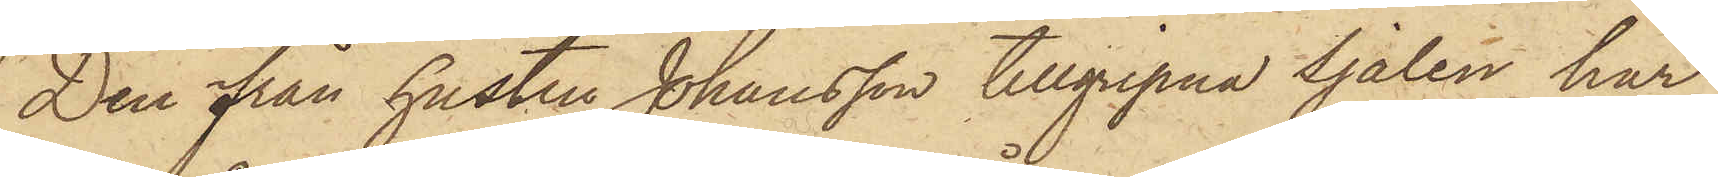Den från hustru Johansson tillgripna sjalen har
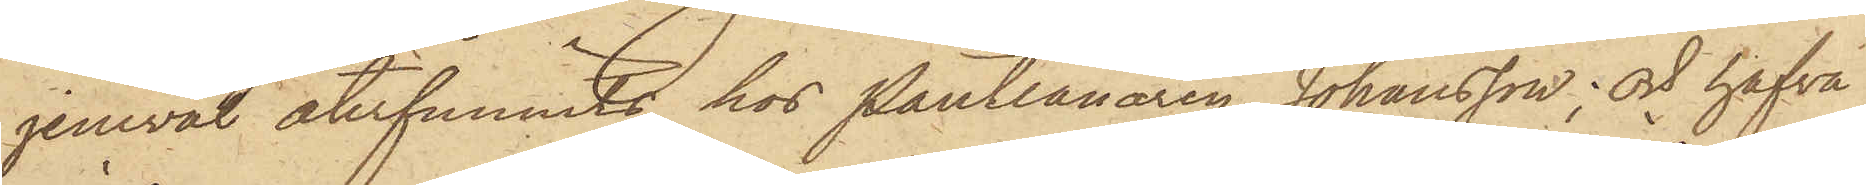jemväl återfunnits hos Pantlånaren Johansson; och hafva
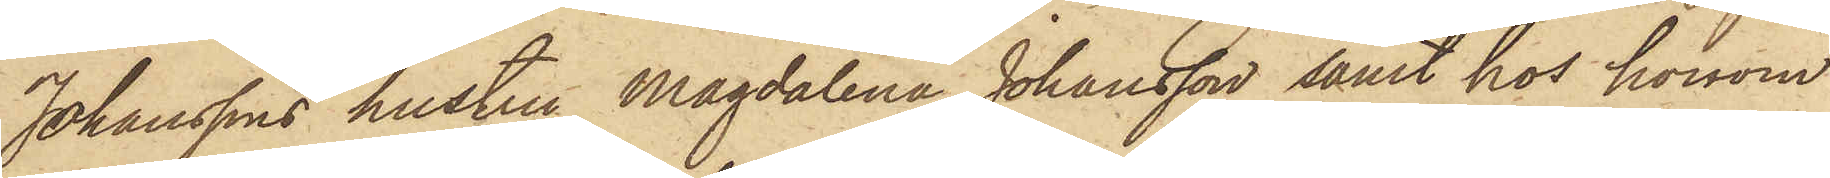Johanssons hustru Magdalena Johansson samt hos honom
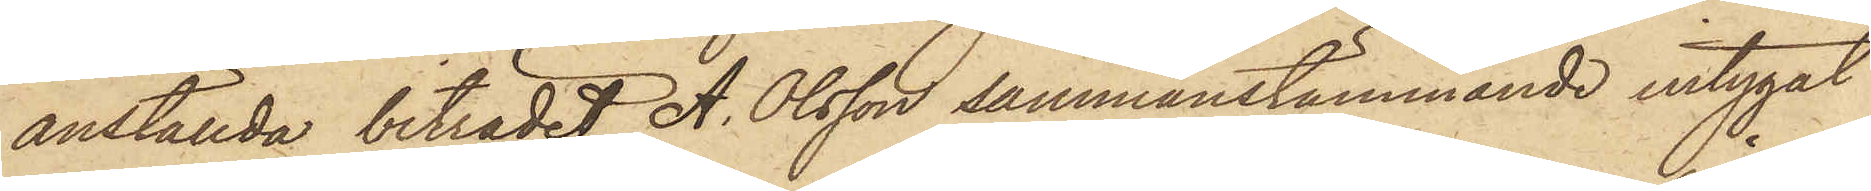anställda biträdet A. Olsson sammanstämmande intygat
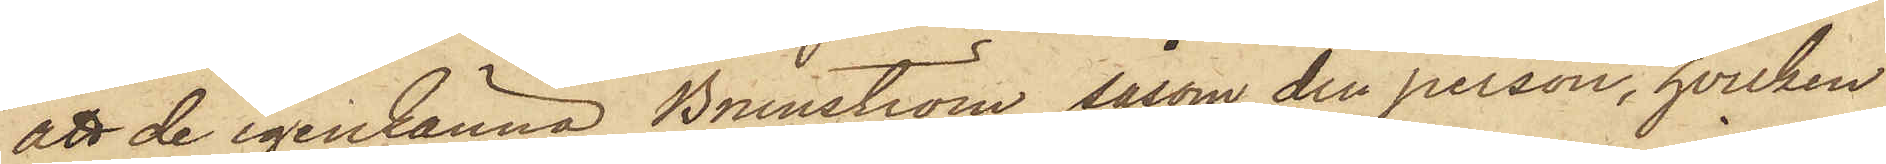att de igenkänna Brunström såsom den person, hvilken
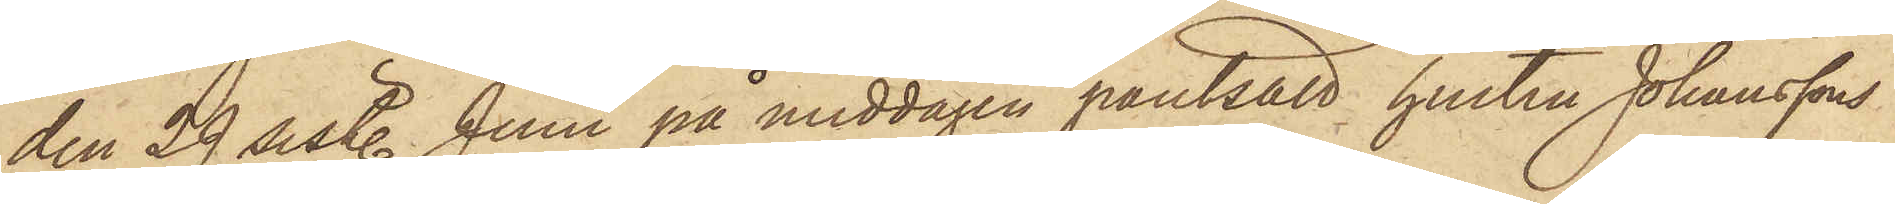den 29 sistl. Juni på middagen pantsatt hustru Johanssons
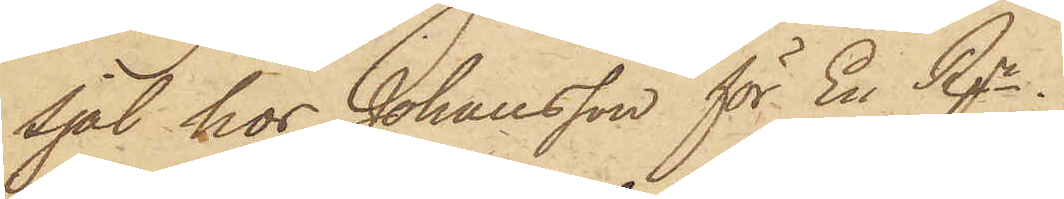Sjal hos Johansson för En Rgr.
